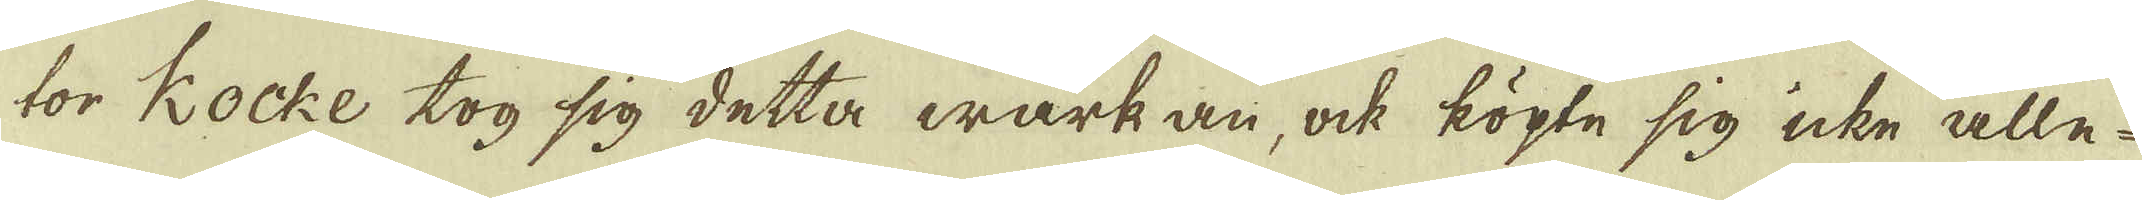tor Kocke tog sig detta wärk an, ock köpte sig icke alle-
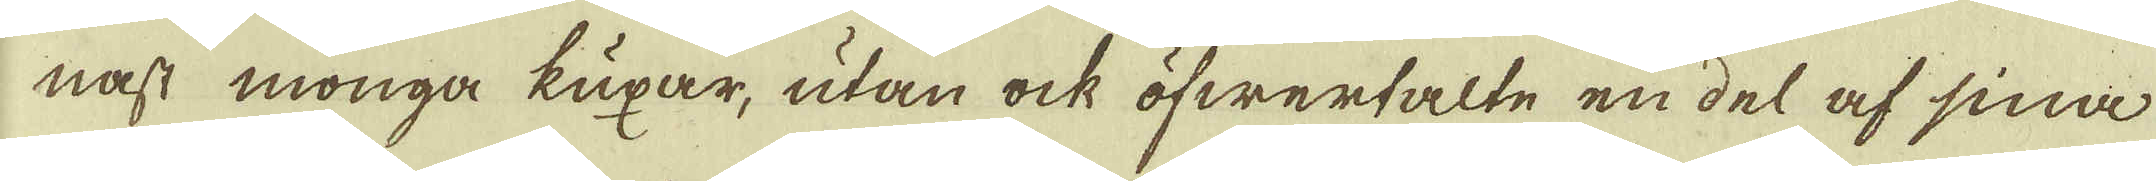nast monga kuxar, utan ock öfwertalte en del af sina
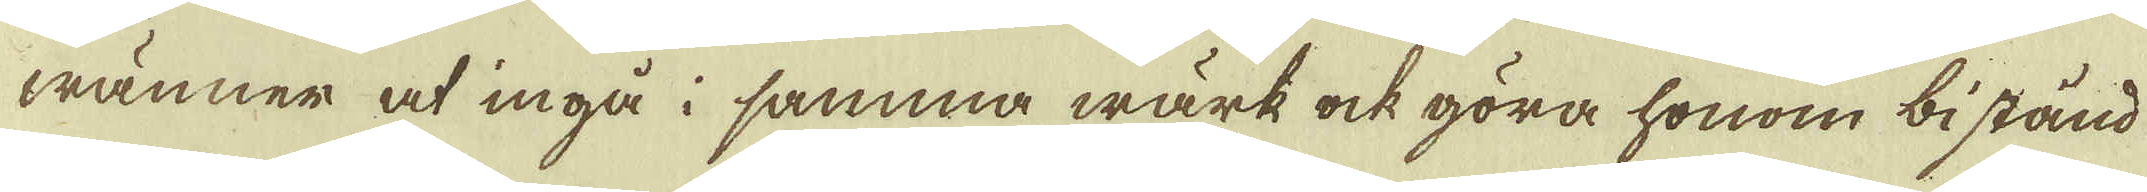wänner at ingå i samma wärk ock göra honom bistånd
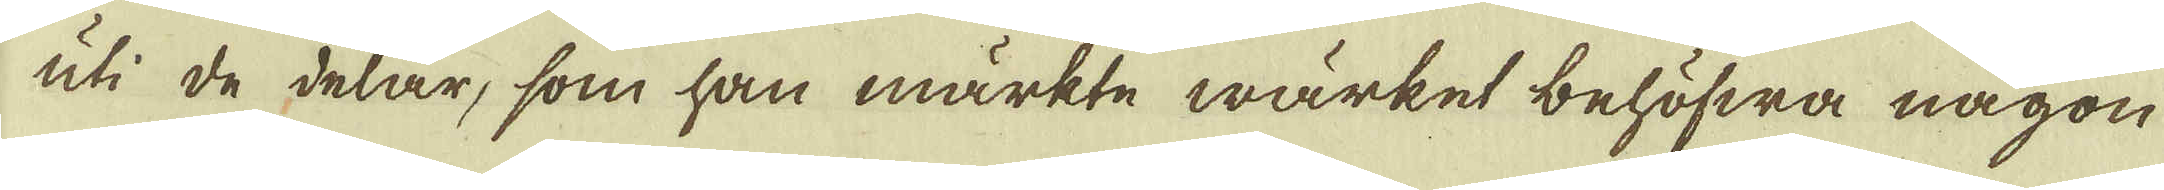uti de delar, som han märkte wärket behöfwa någon
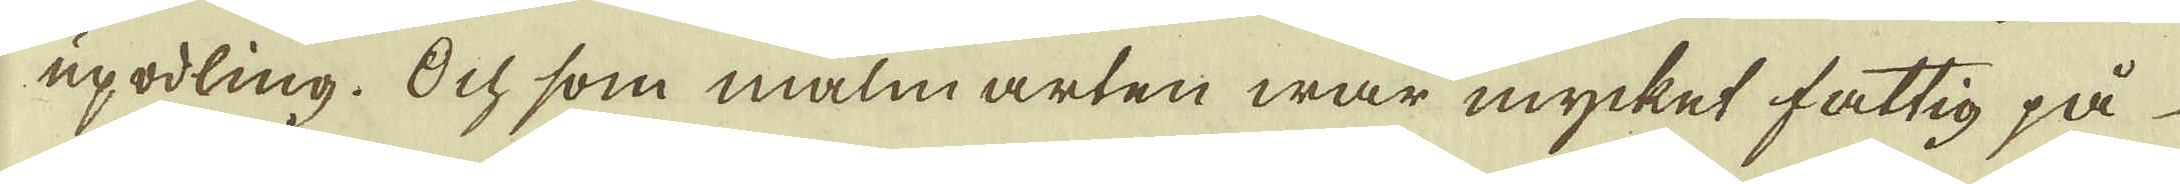upodling. Och som malm arten war mycket fattig på
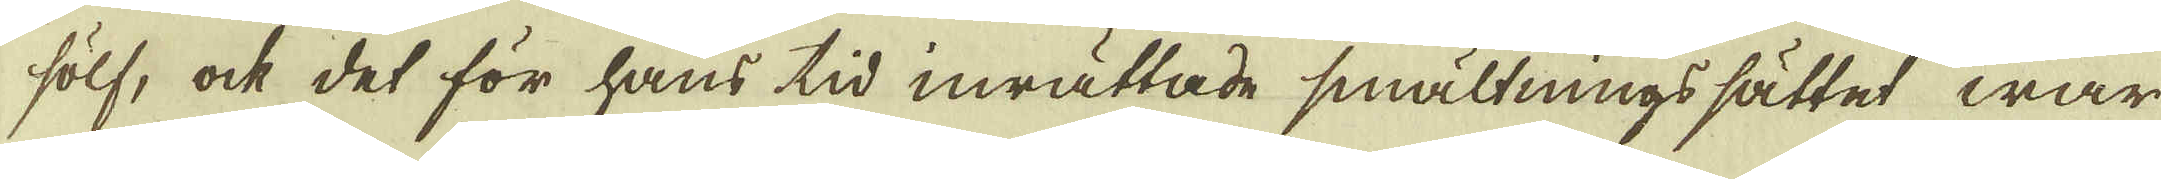sölf, ock det för hans tid inrättade smältningssättet war
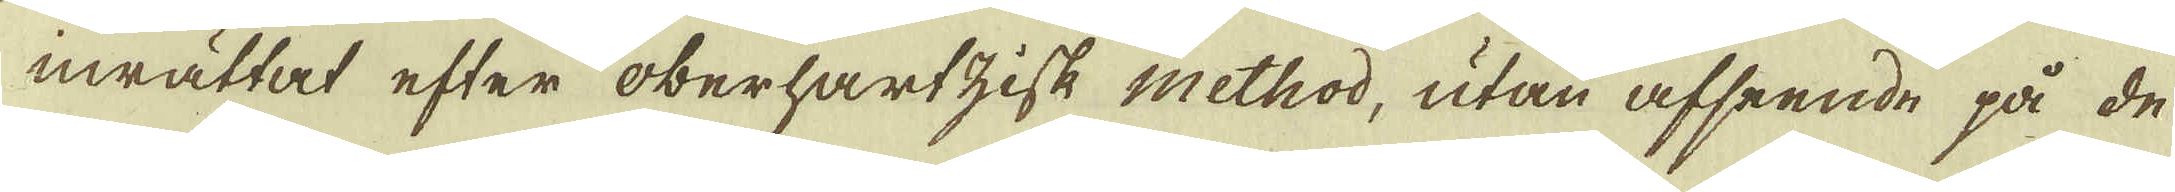inrättat efter oberhartzisk method, utan afseende på de
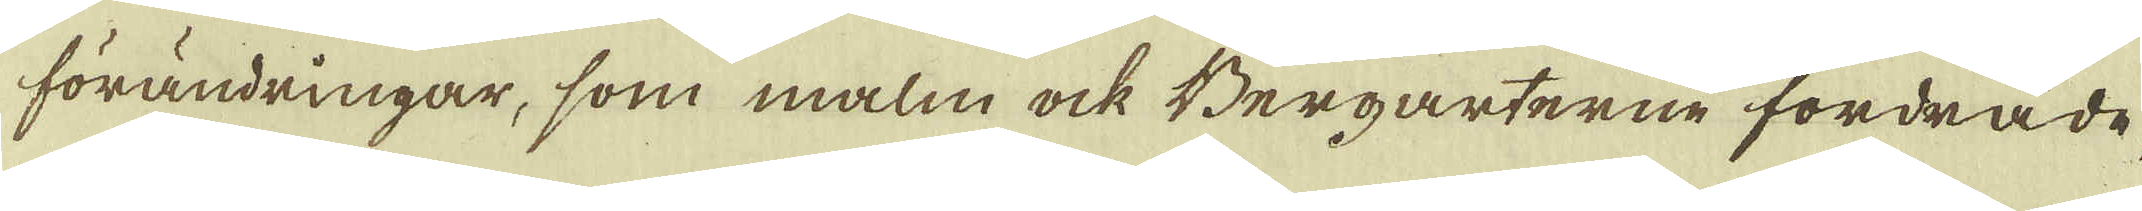förändringar, som malm ock Bergarterne fordrade,
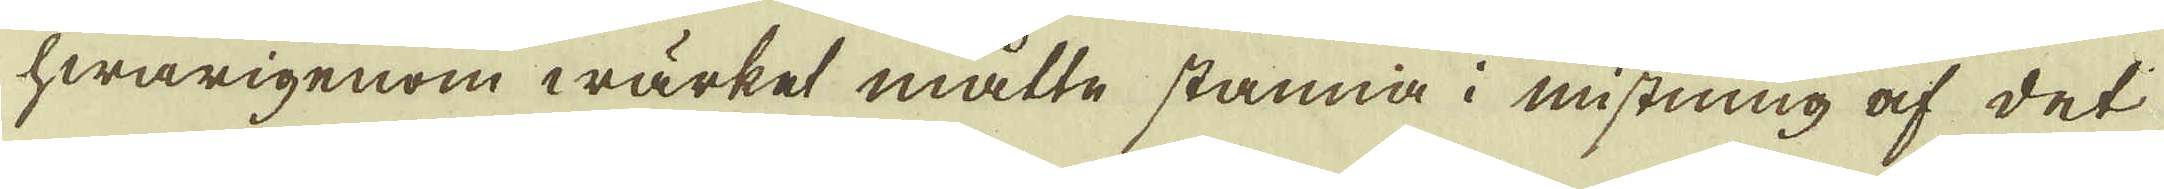hwarigenom wärket måtte stanna i mistning af det
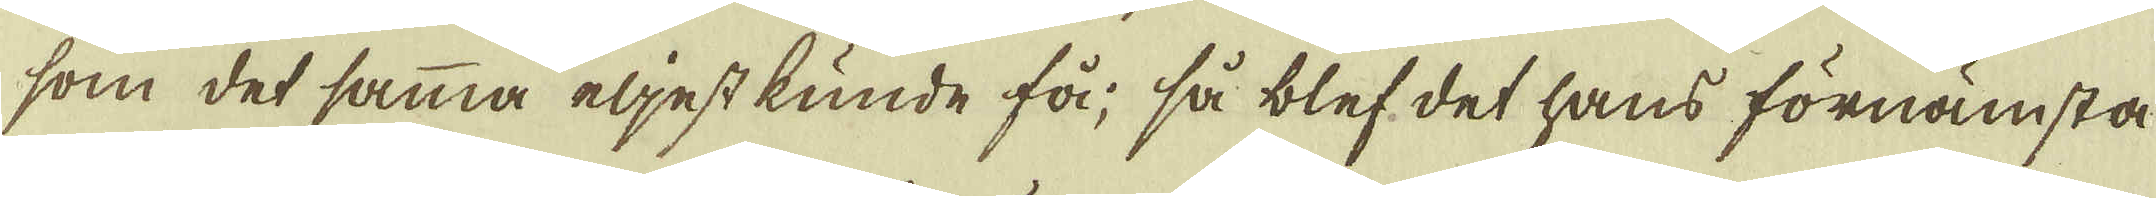som det samma eljest kunde få, så blef det hans förnämsta
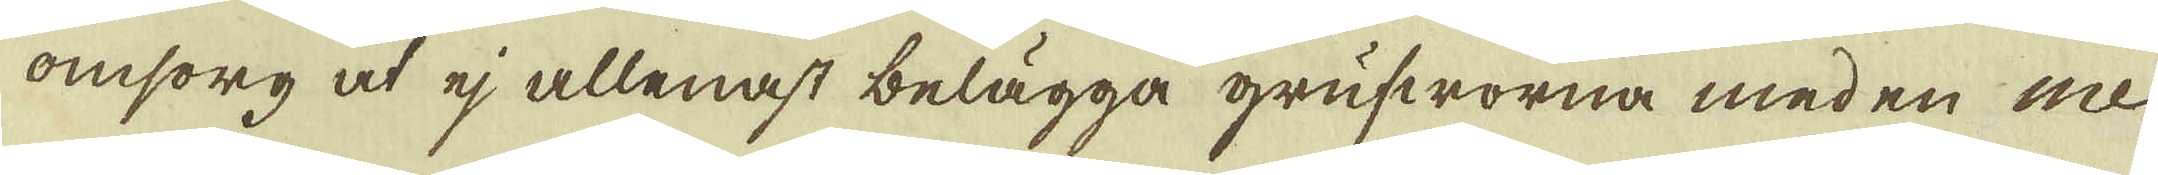omsorg at ej allenast belägga grufworna med en me-
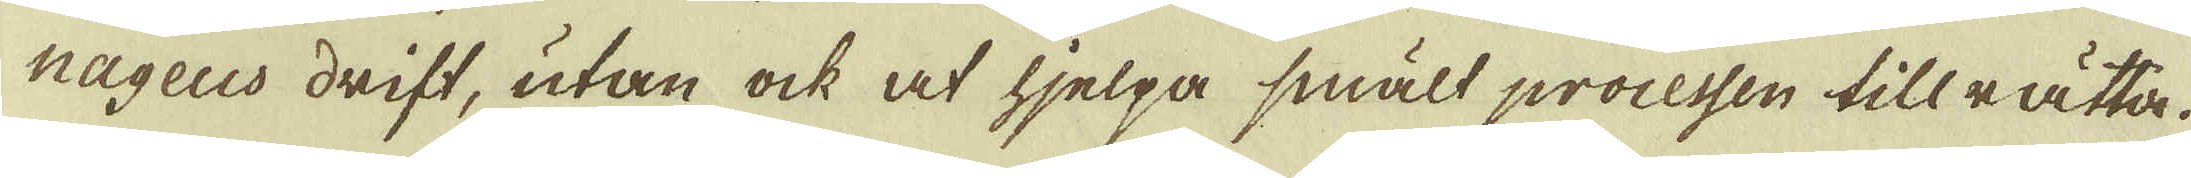hngeus drift, utan ock at hjelpa smält processen tillrätta.
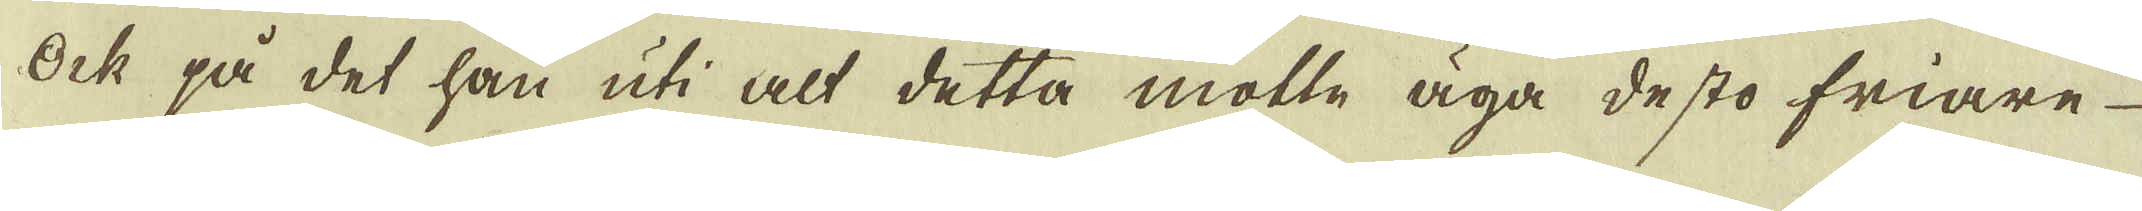Ock på det han uti alt detta motte äga desto friare
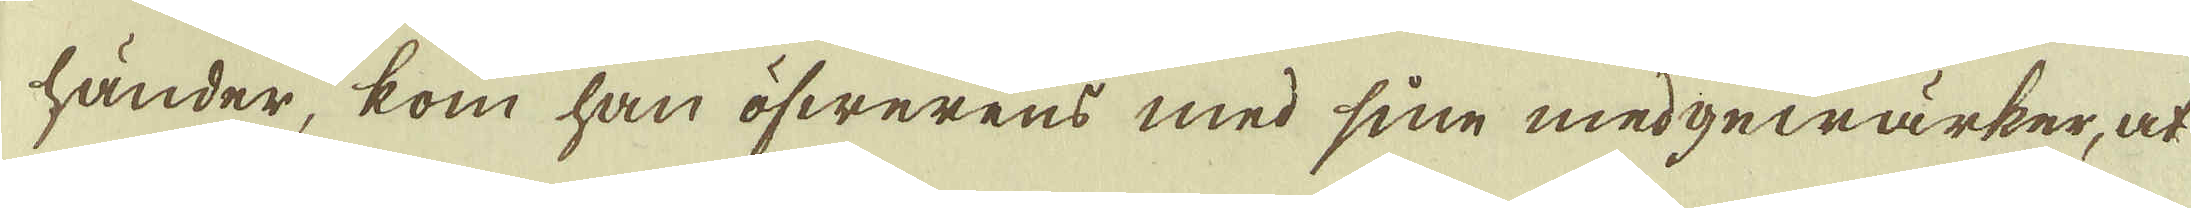händer, kom han öfwerens med sine medgewärker, at
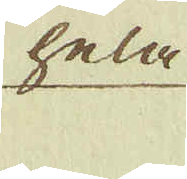hela
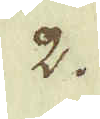2.
